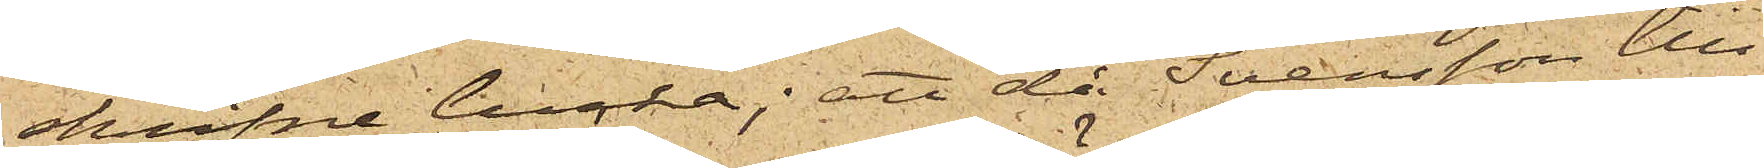skrifne lucka; att då Svensson till¬
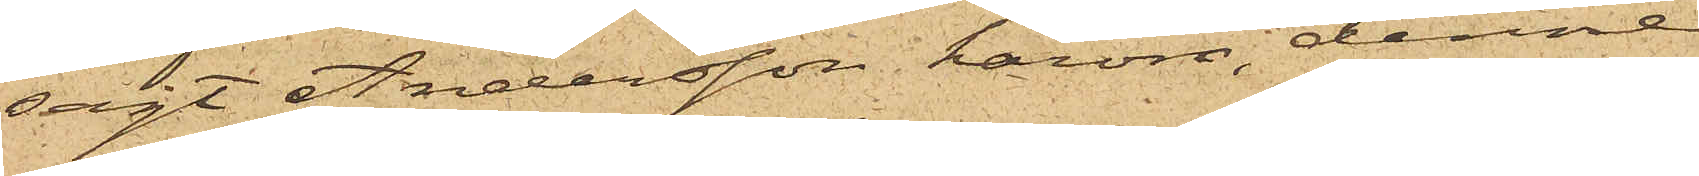sagt Andersson härom, denne
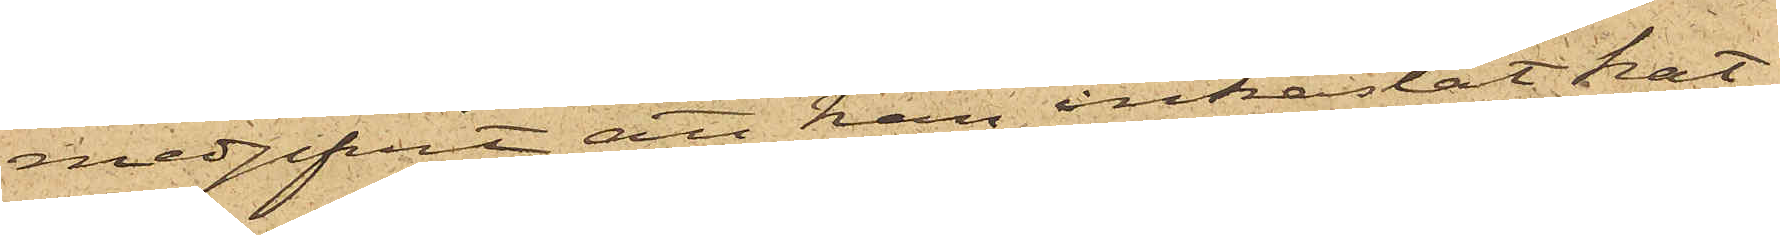medgifvit att han inkastat hat¬
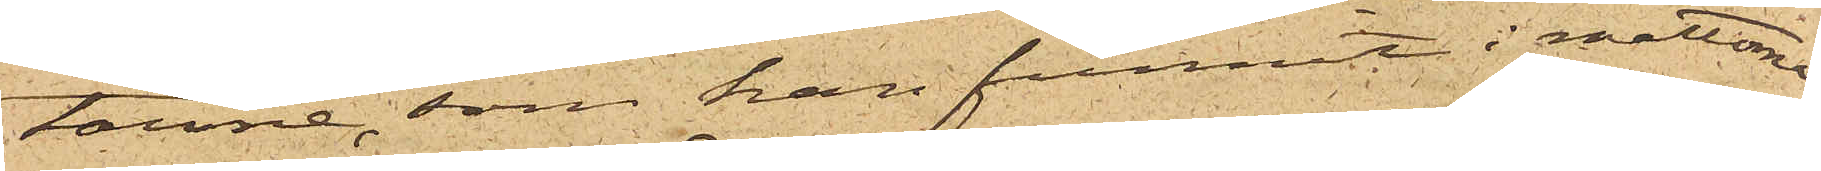tarne, som han funnit i mattorna;
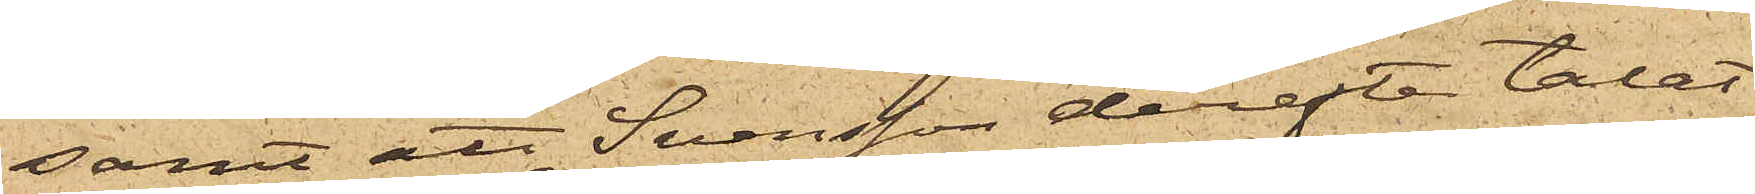samt att Svensson derefter talat
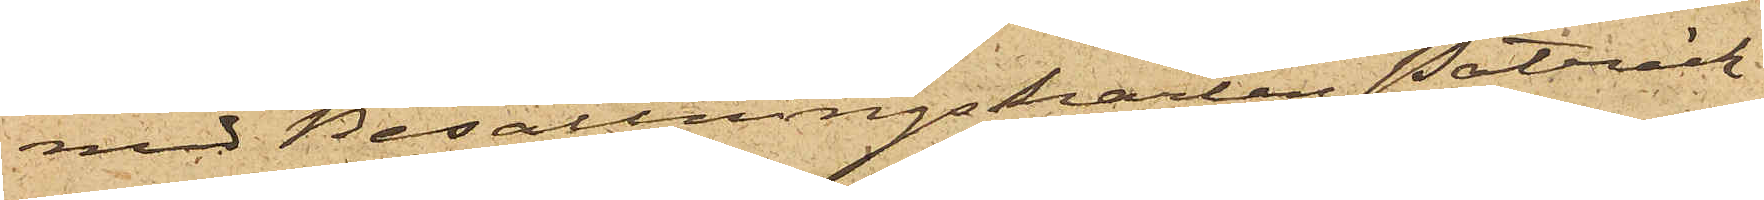med Besättningskarlen Patrick
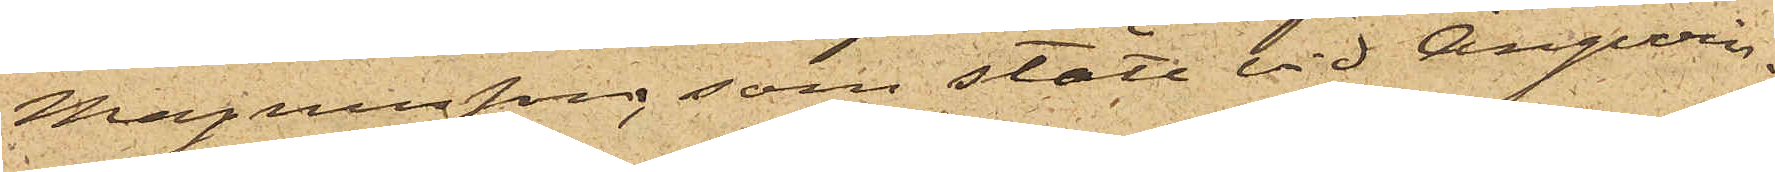Magnusson, som stått vid Ångvin¬
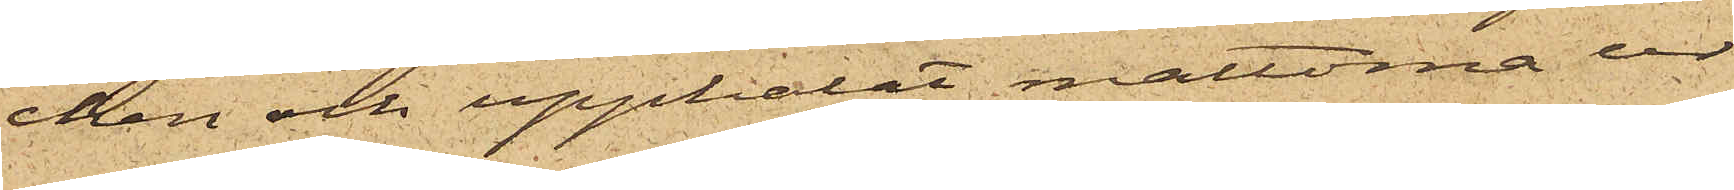chen och upphalat mattorna ur
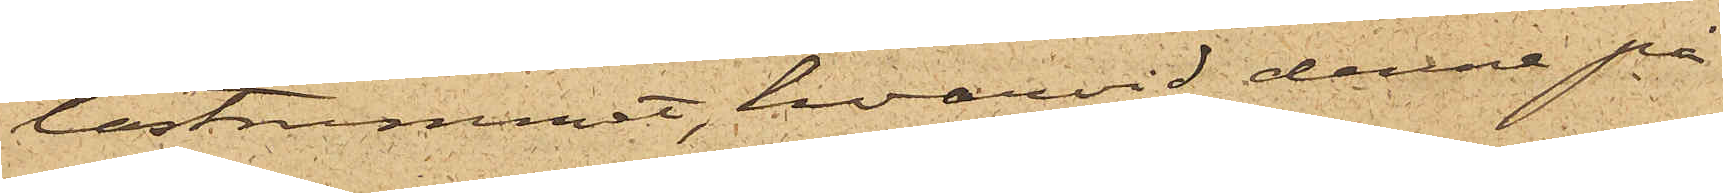lastrummet, hvarvid denna på
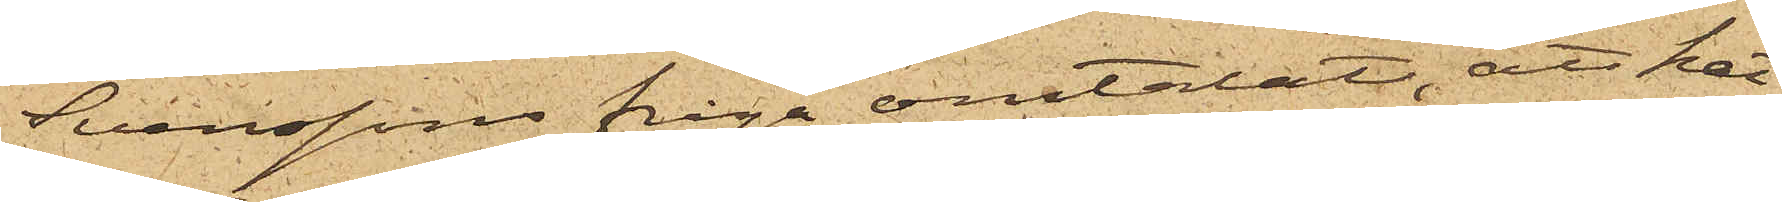Svenssons fråga omtalat, att hat¬
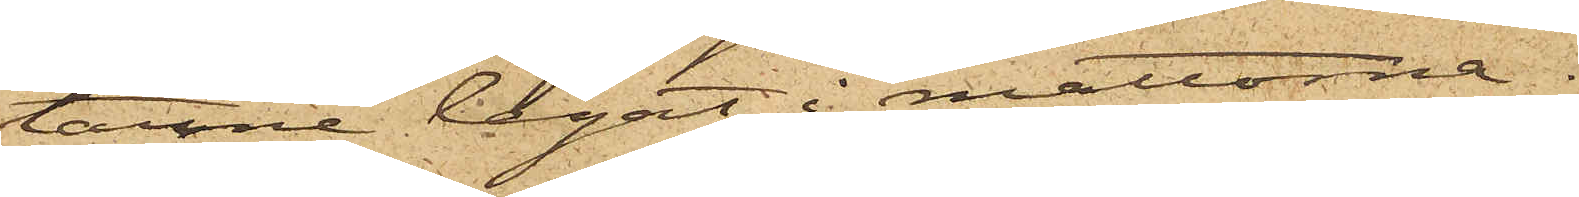tarne legat i mattorna.
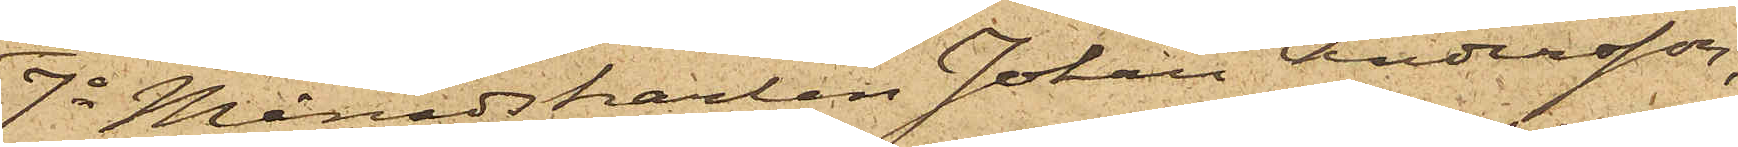7o Månadskarlen Johan Andersson,
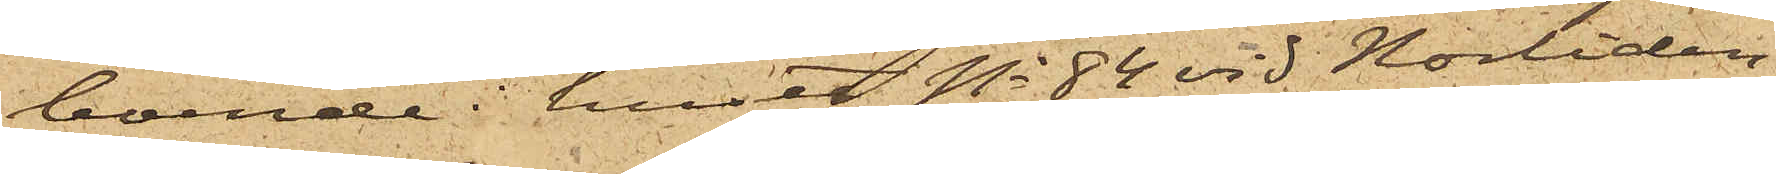boende i huset No 84 vid Norliden,
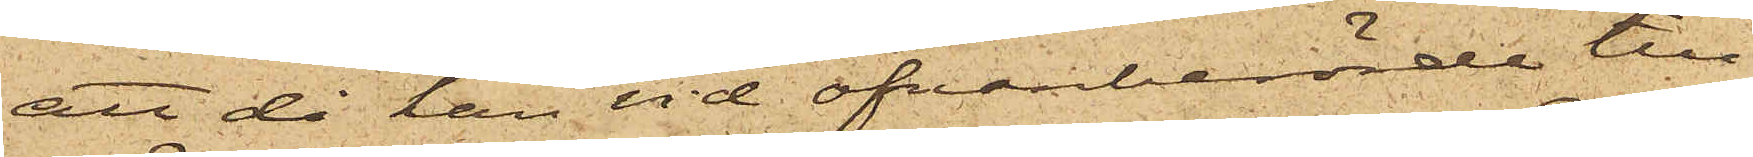att då han vid ofvanberörde till¬
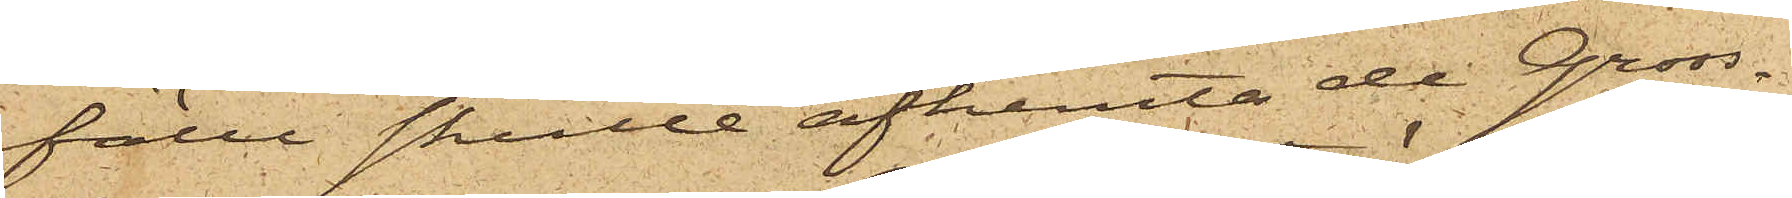fälle skulle afhemta de Gross¬
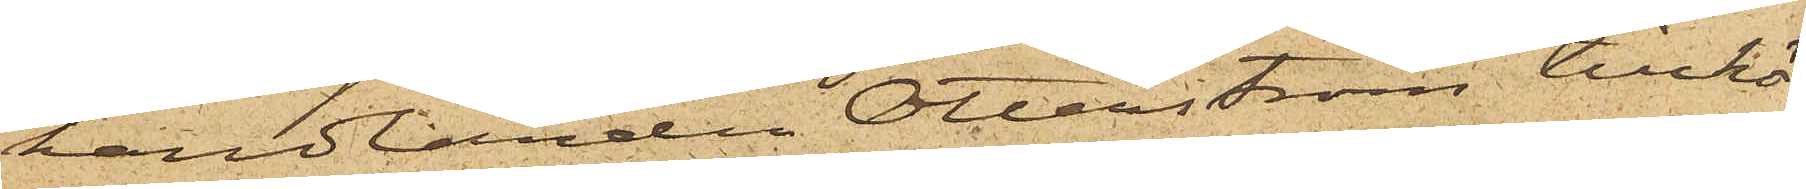handlanden Otterström tillhö¬
